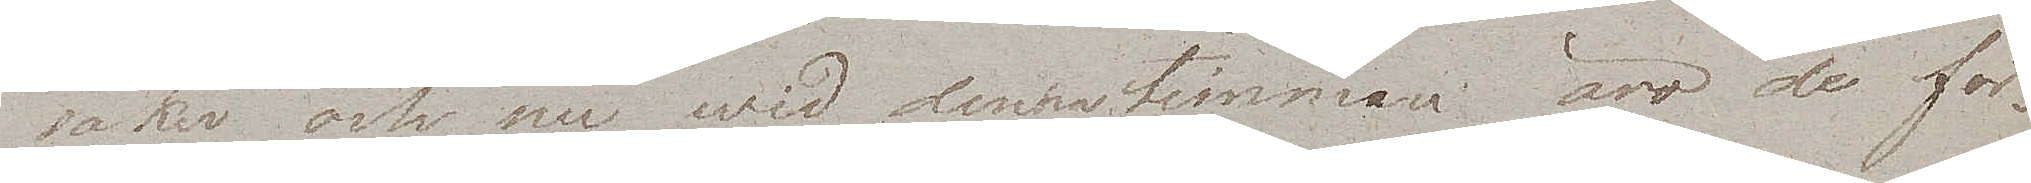saker och nu wid denna timman äro de för¬
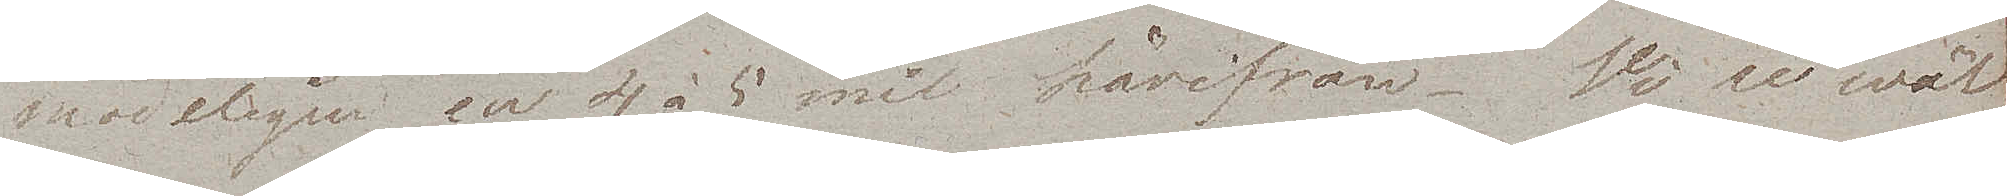modeligen en 4 à 5 mil härifrån. Vi se wäl
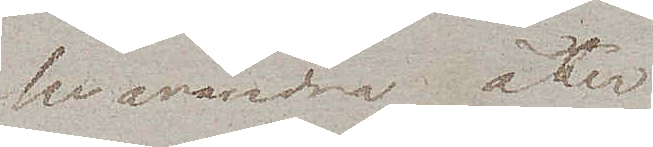hvarandra åter. 
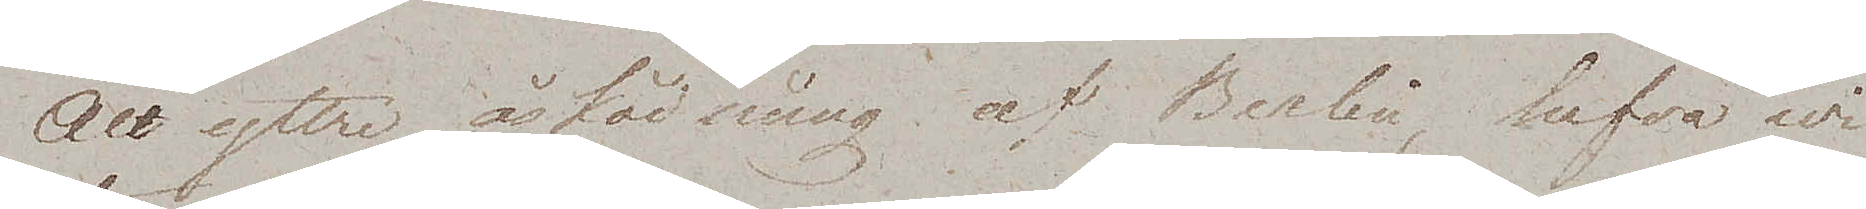All yttre åskådning af Berlin, hafva wi
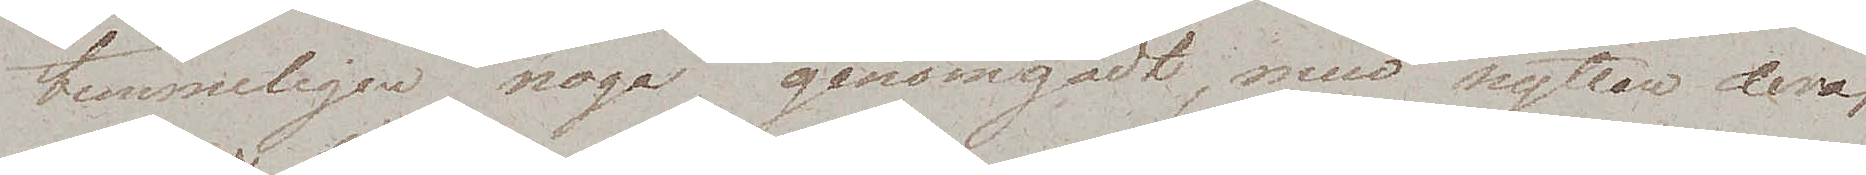temmeligen noga genomgådt, men nyttan deraf
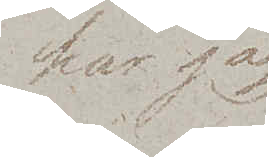har jag
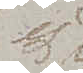ej
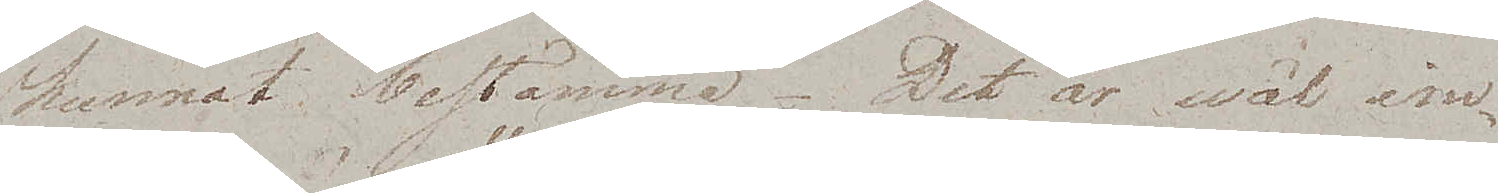kunnat bestämma. Det är wäl im¬
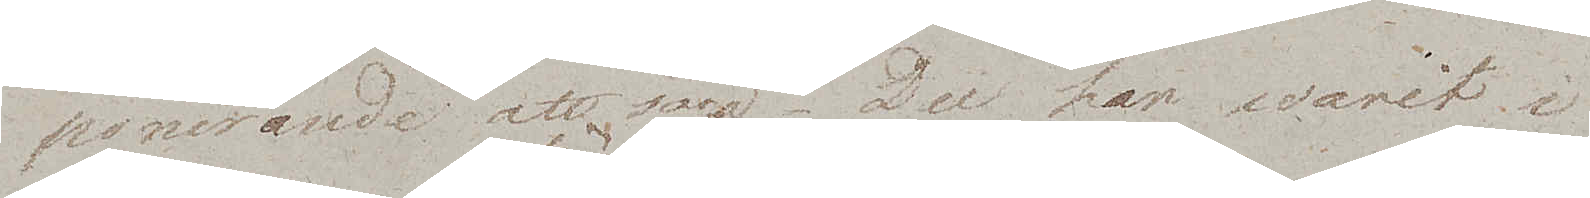ponerande att säga – "Du har warit i
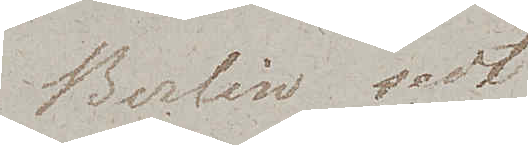Berlin sedt
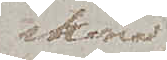sköna
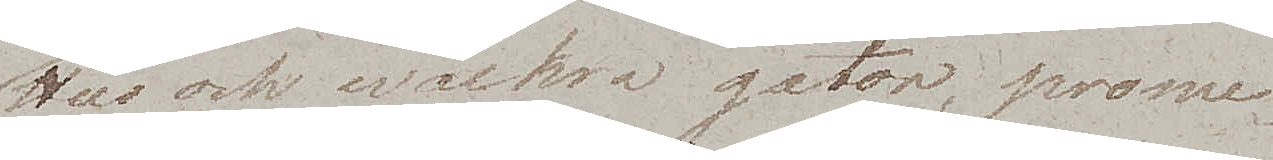Hus och wackra gator, prome¬
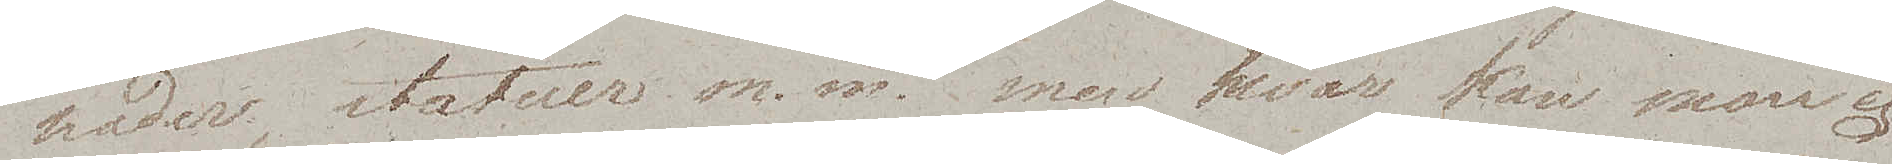nader, statuer m.m." men hvar kan man ej
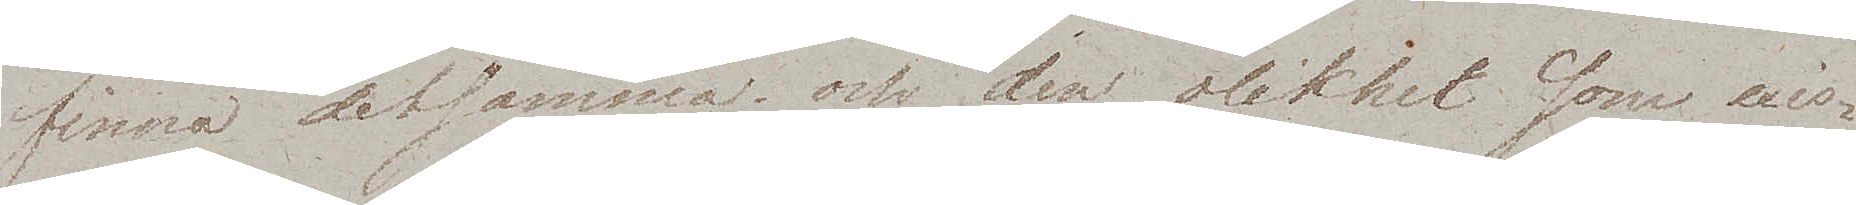finna detsamma och den olikhet som exis¬
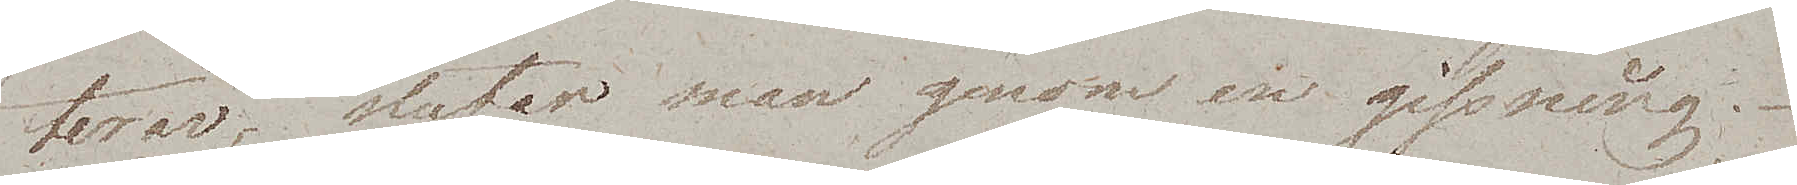terar, slutar man genom en gissning.
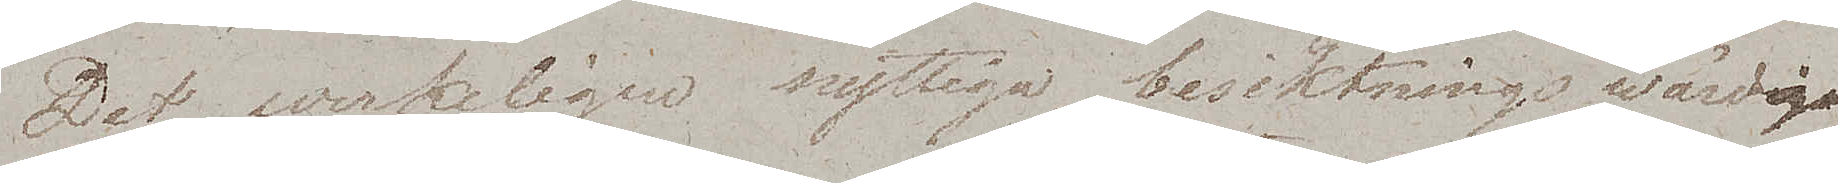Det werkeligen nyttiga, besiktningswärdiga
